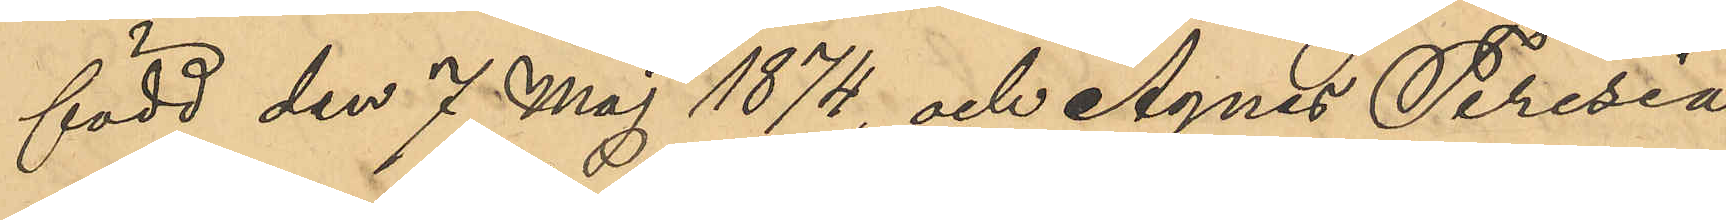född den 7 Maj 1874, och Agnes Teresia
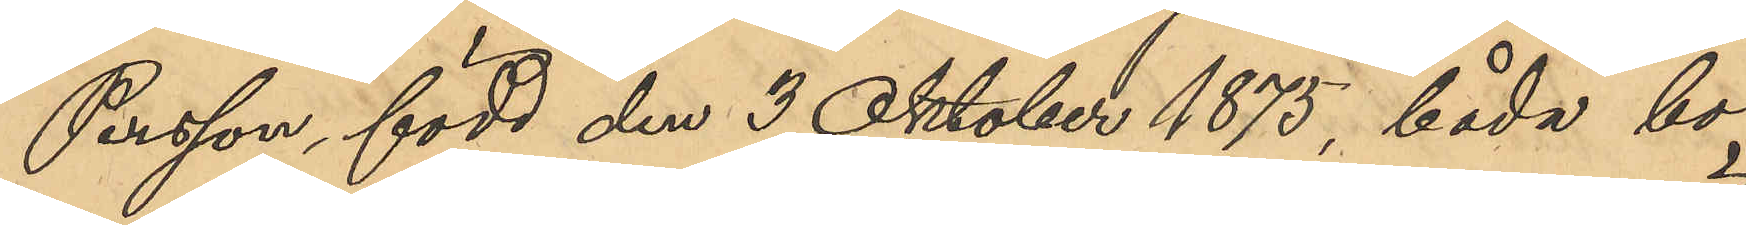Persson, född den 3 Oktober 1875, båda bo¬
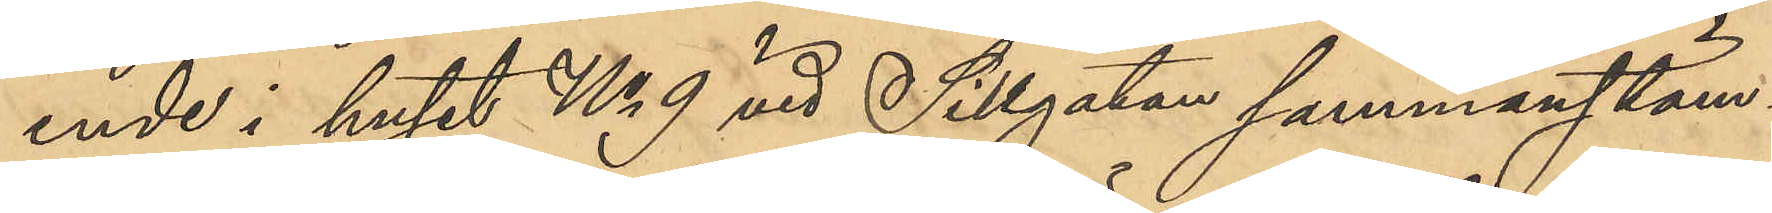ende i huset No 9 vid Sillgatan sammanstäm¬
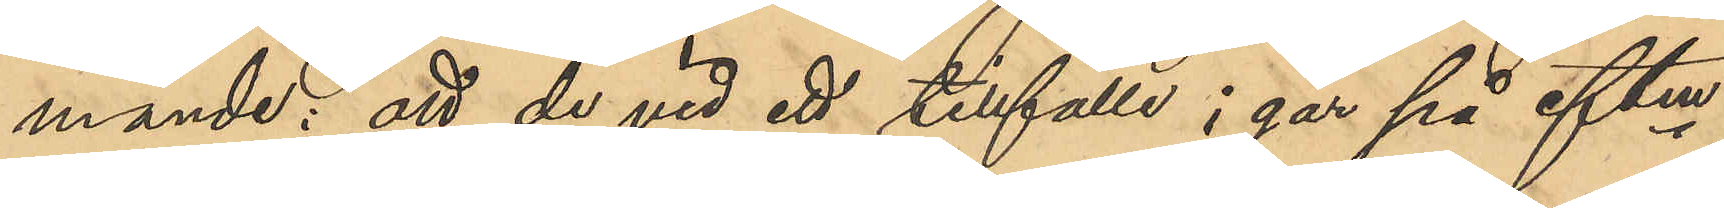mande; att de vid ett tillfälle i går på eftm
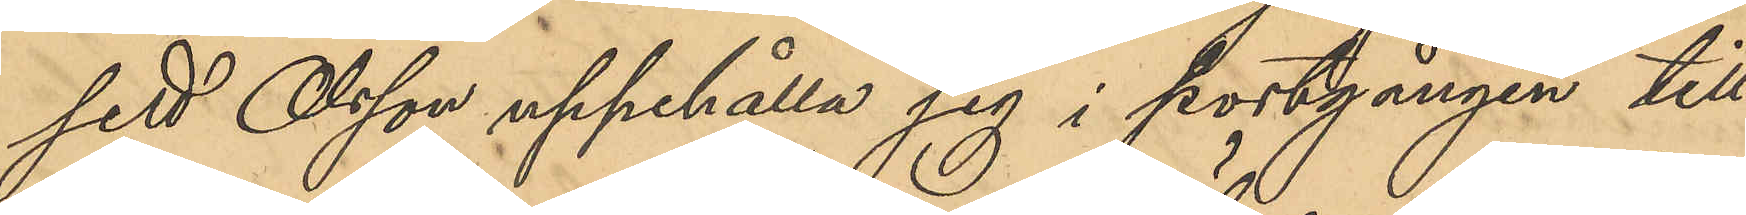sett Olsson uppehålla sig i portgången till
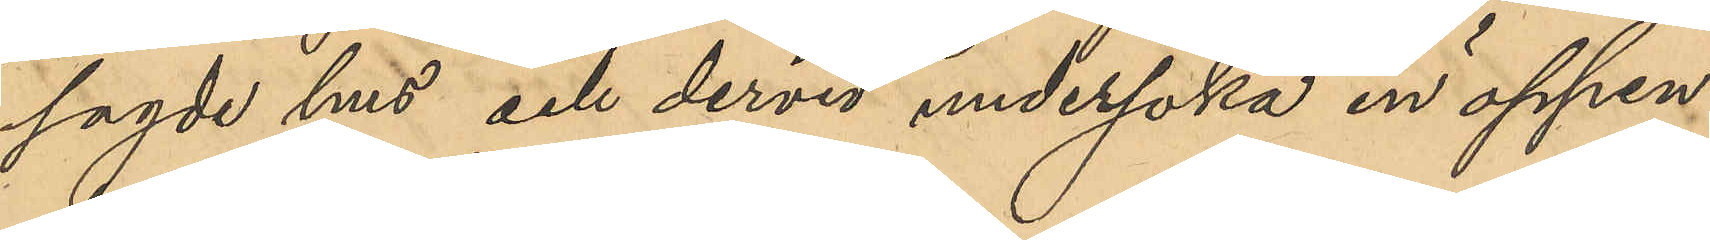sagde hus och dervid undersöka en öppen
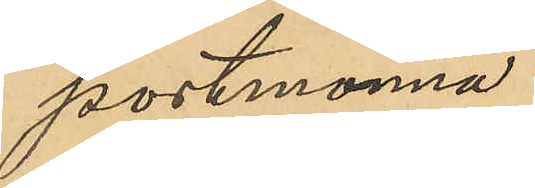portmonnä.
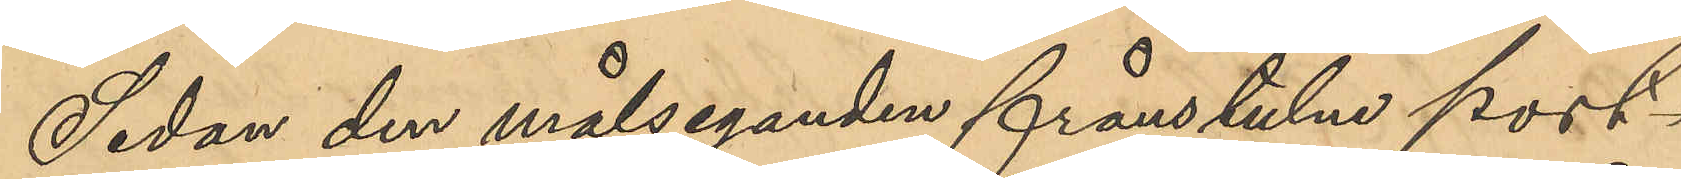Sedan den målseganden frånstulna port¬
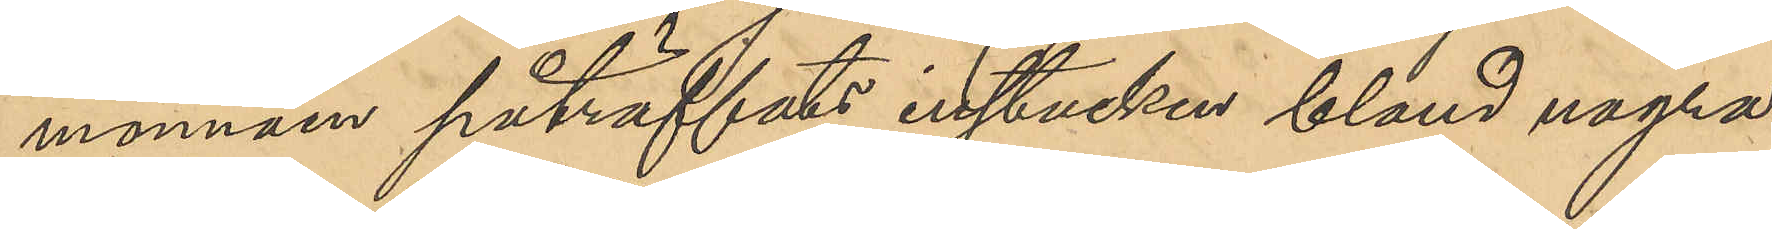monnäen påträffats instucken bland några
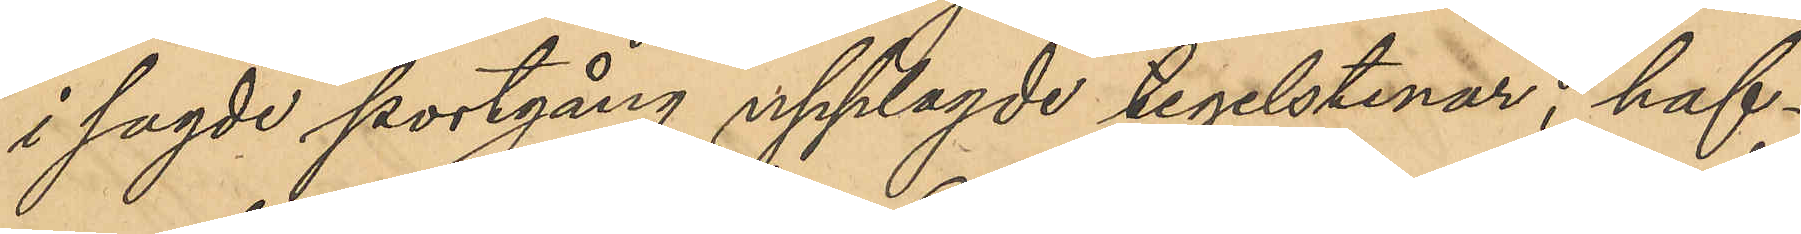i sagde portgång upplagde tegelstenar, haf¬
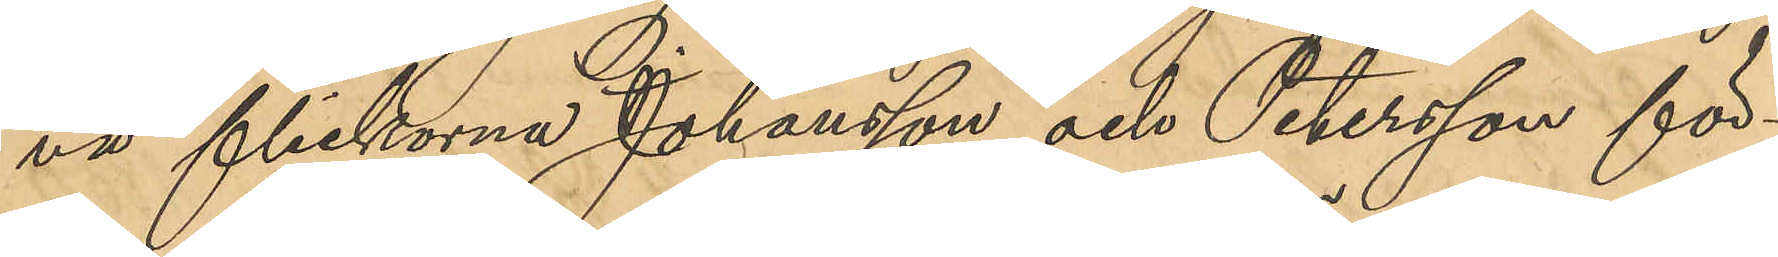va flickorna Johansson Och Petersson för¬
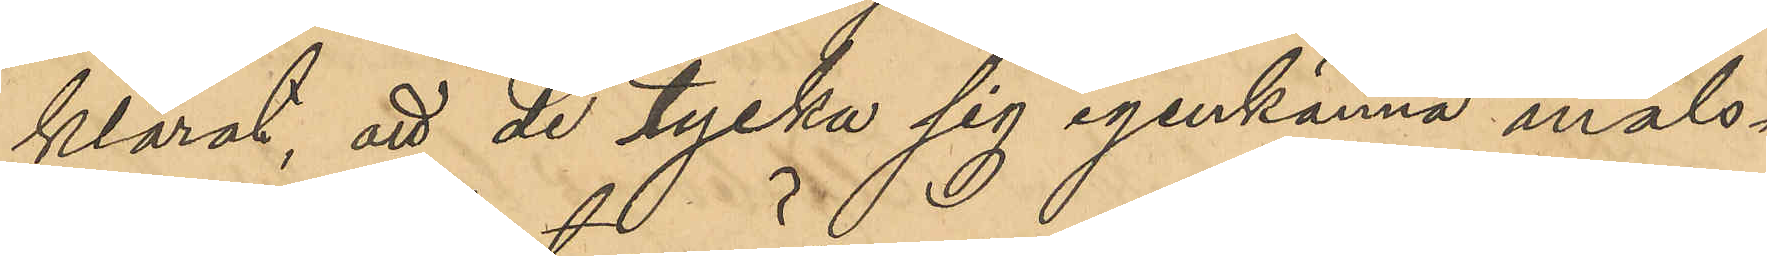klarat, att de tycker sig igenkänna måls¬
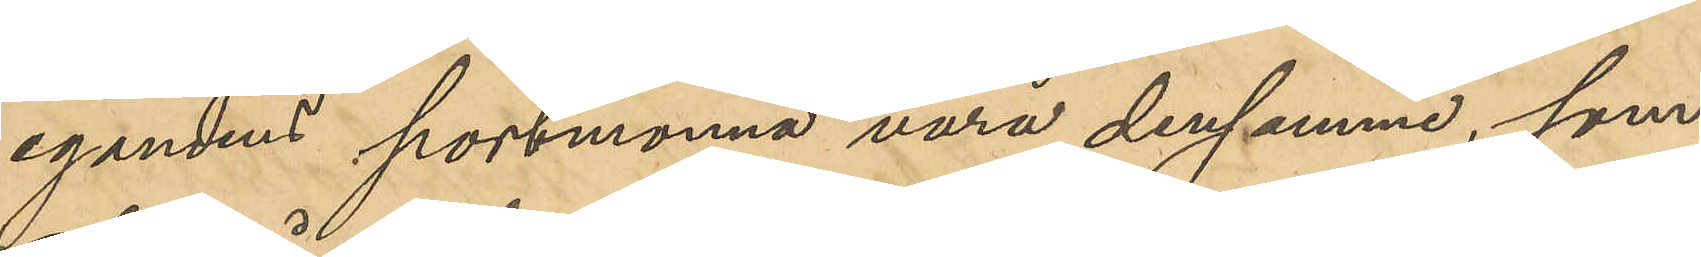egandens portmonnä vara densamme som
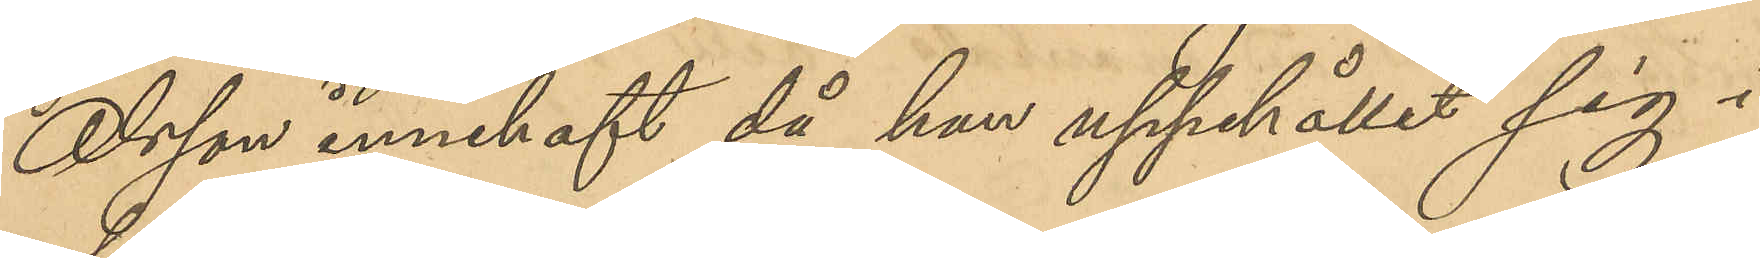Olsson innehaft då han uppehållit sig i
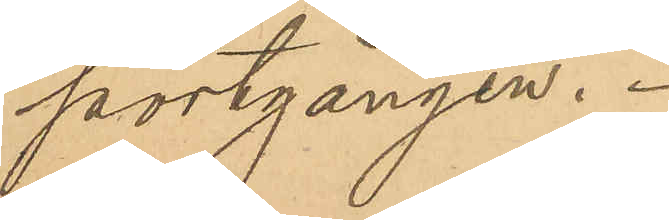portgången.
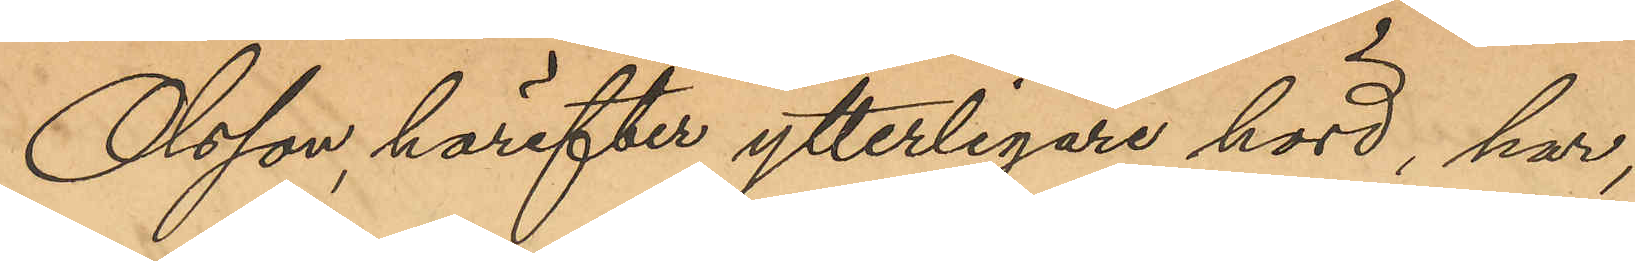Olsson härefter ytterligare hörd, har,
